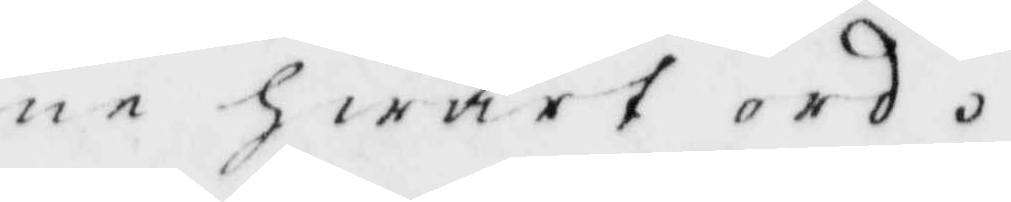ne hwart ord.
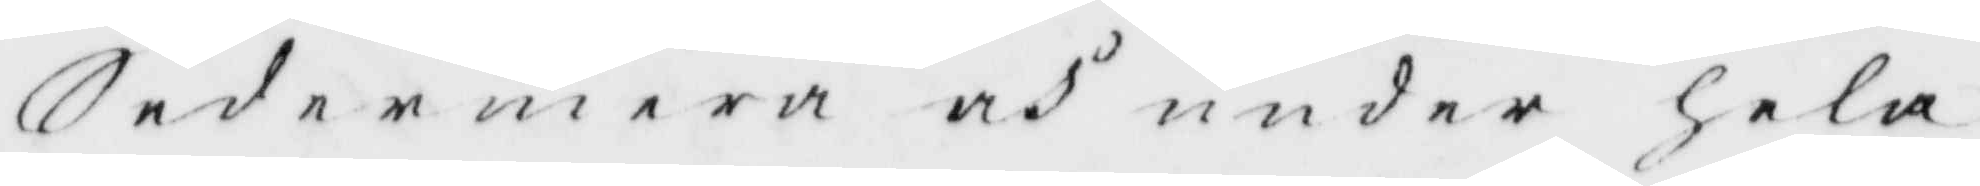Sedermera och under hela
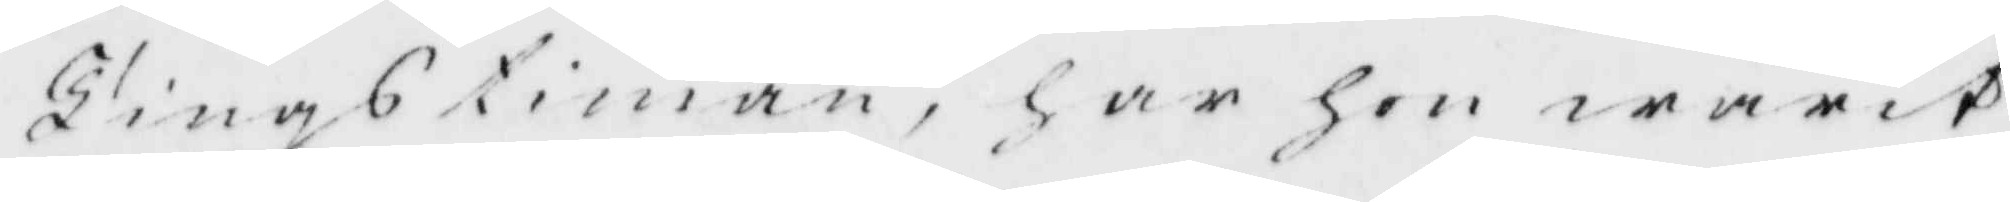Tingstiman, har hon warit
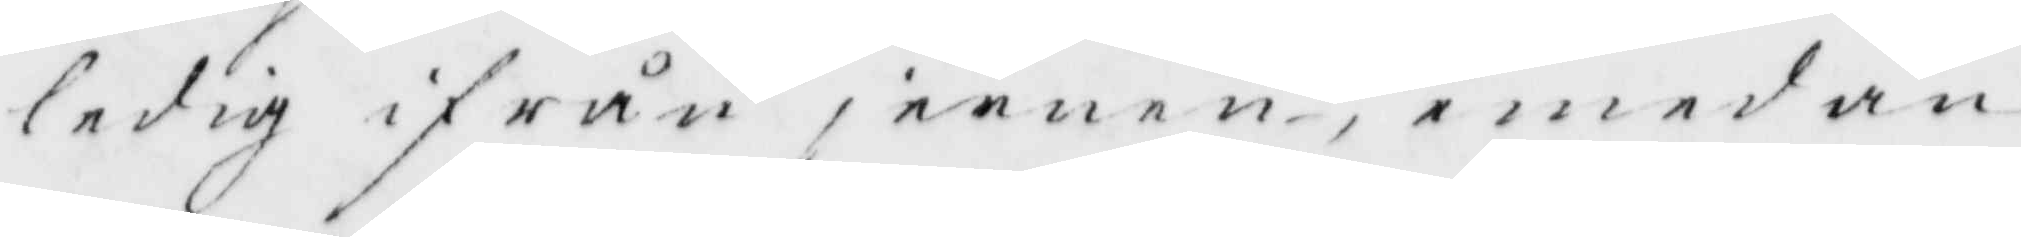ledig ifrån jernen, emedan
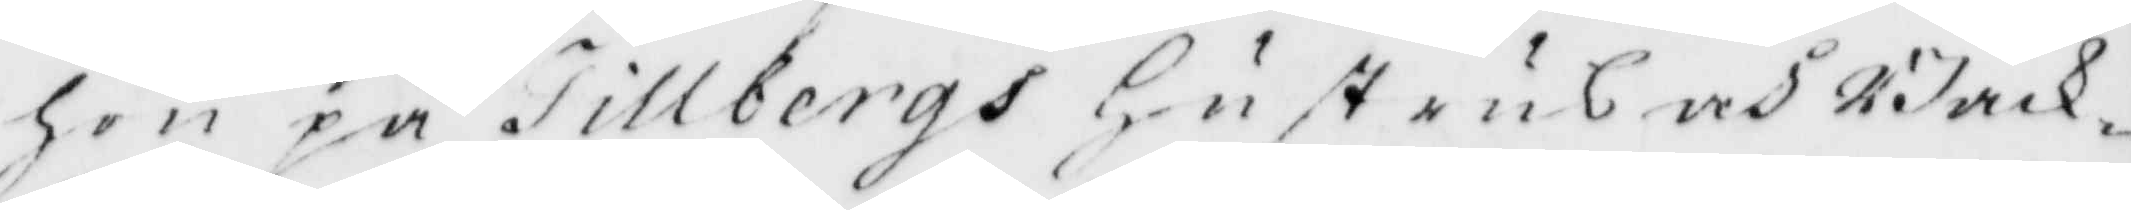hon på Tillbergs Hustrus och Back
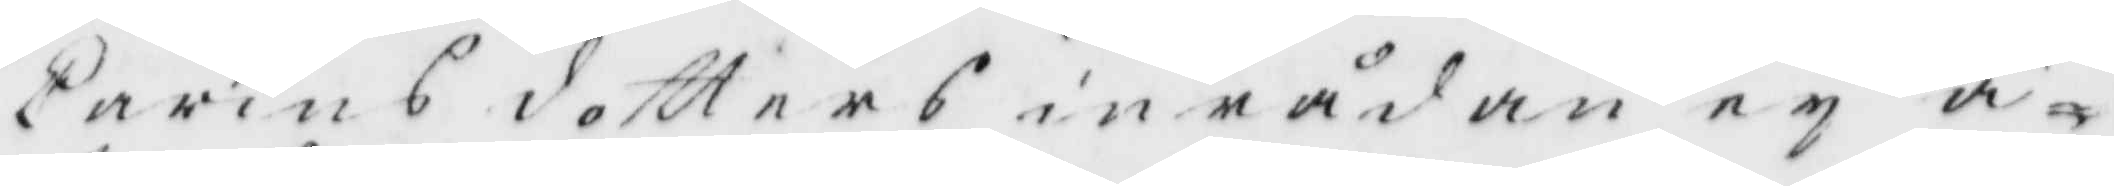Carins dotters inrådan ey å¬
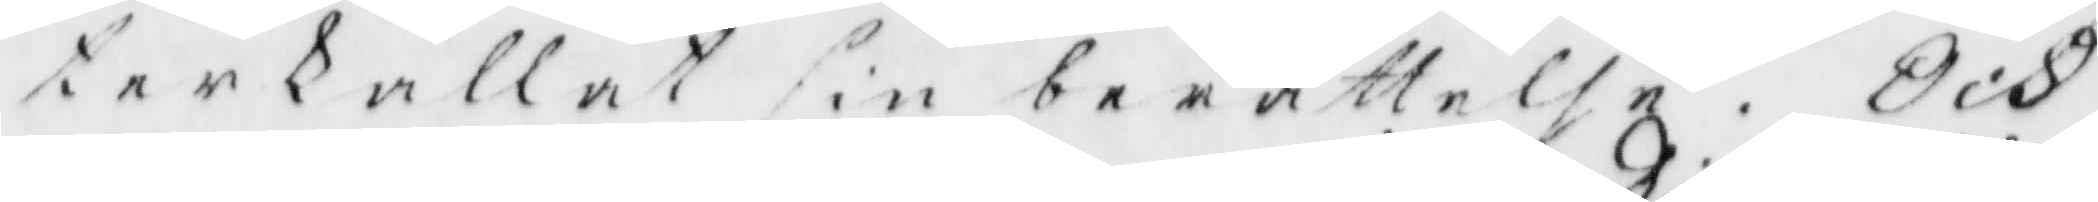terkallat sin berättelse. och
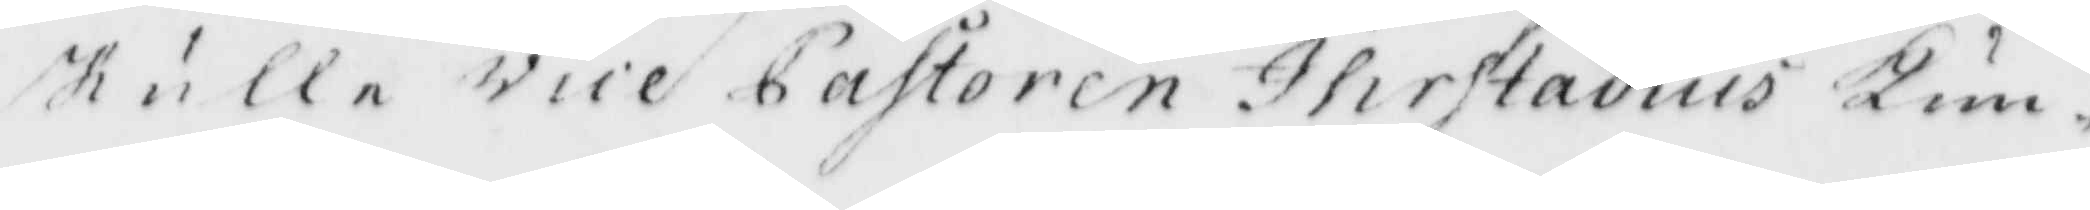skulle vice pastoren Hirstadius Kun¬
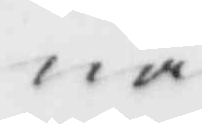na
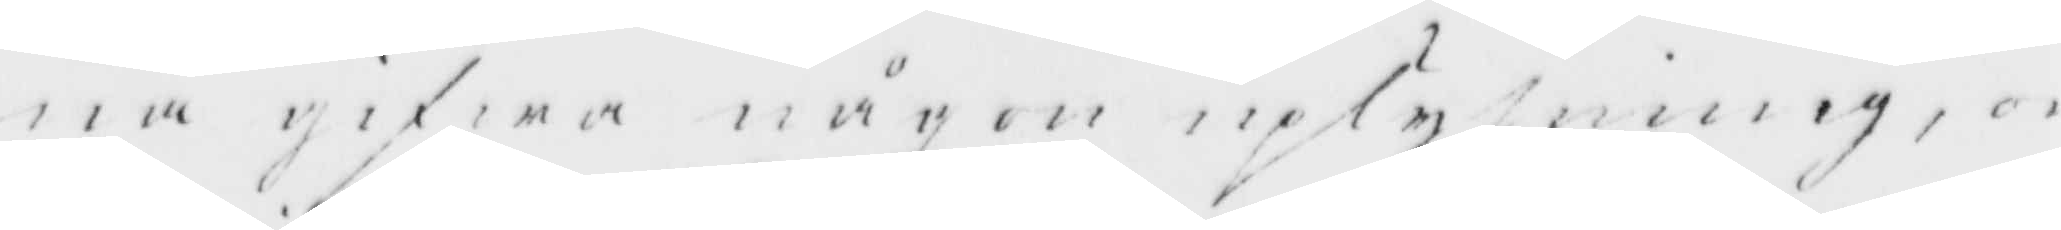na gifwa någon uplysning, om
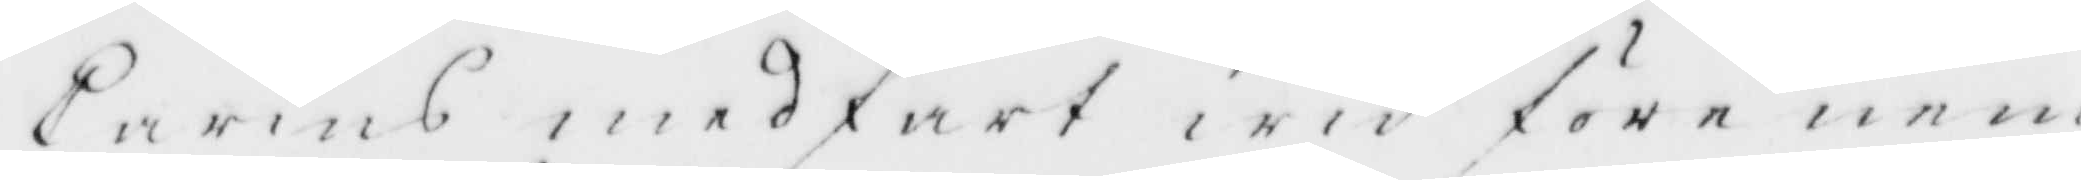Carins medfart wid före nem¬
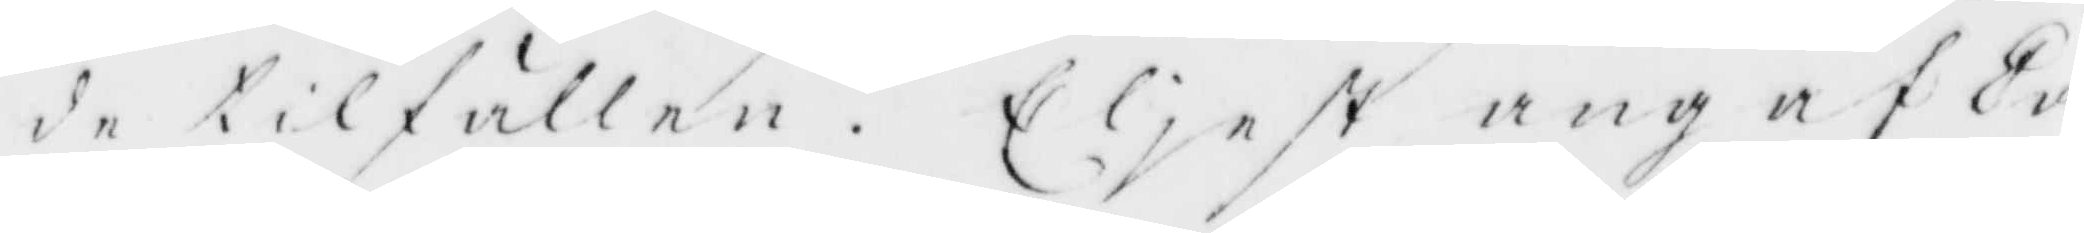de tilfällen. Eliest angaf Ca¬
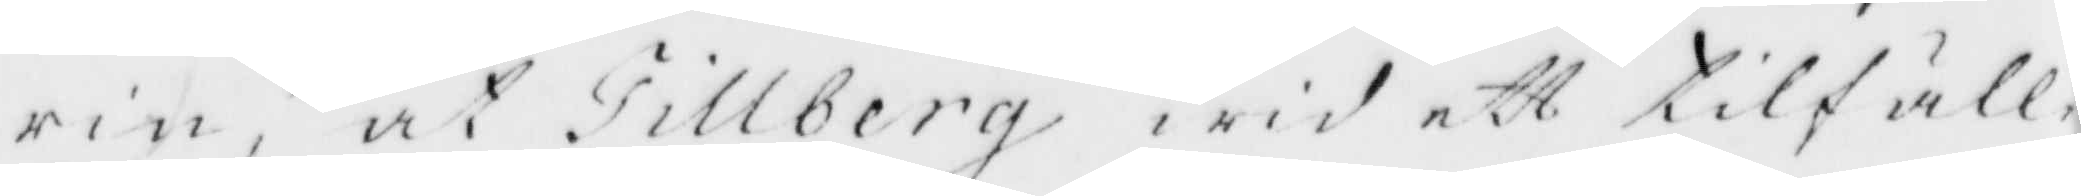rin at Tillberg wid ett tilfälle
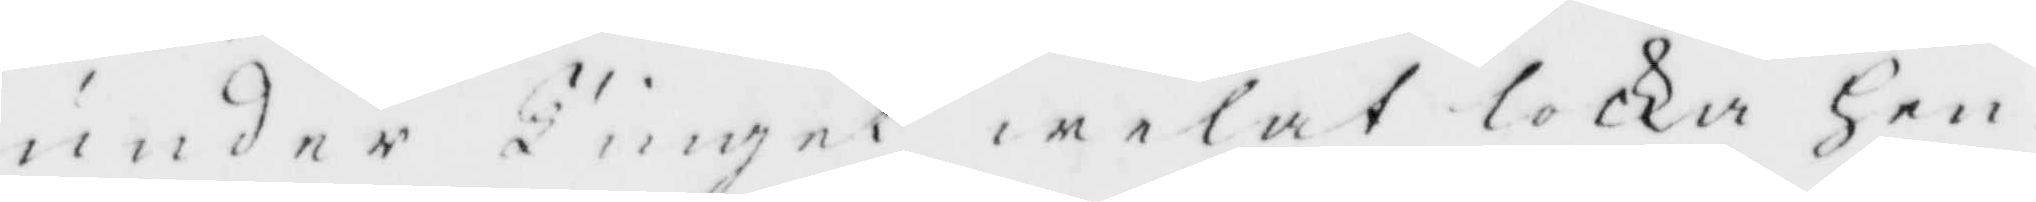under Tinget welat locka hen¬
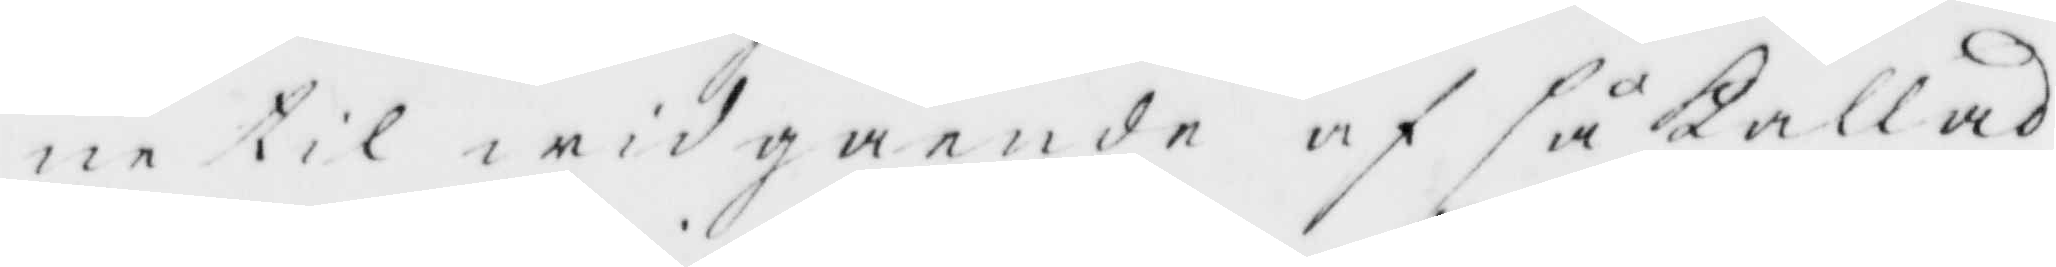ne til widgående af så Kallad
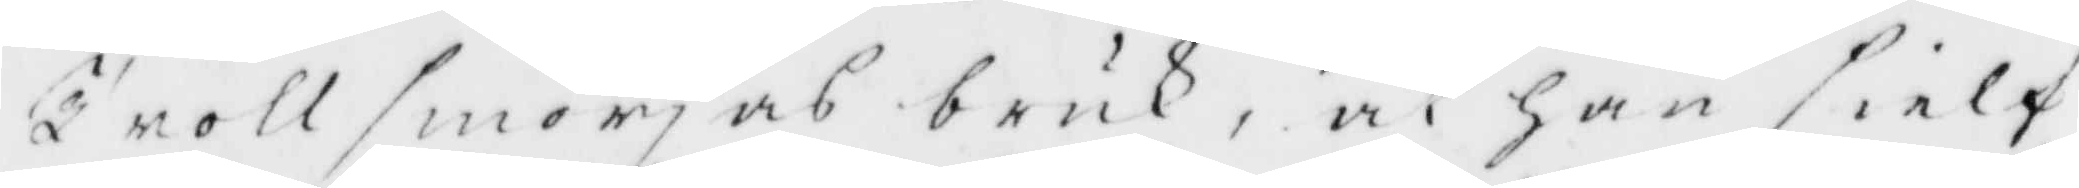trollsmörjas bruk, at han sielf
